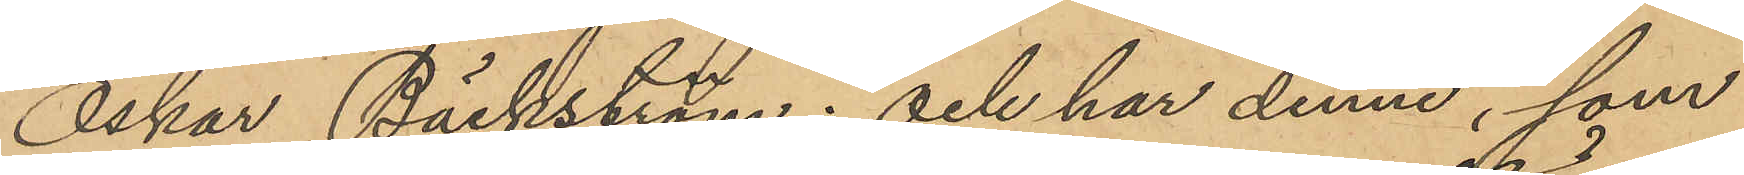Oskar Bäckström; och har denne, som
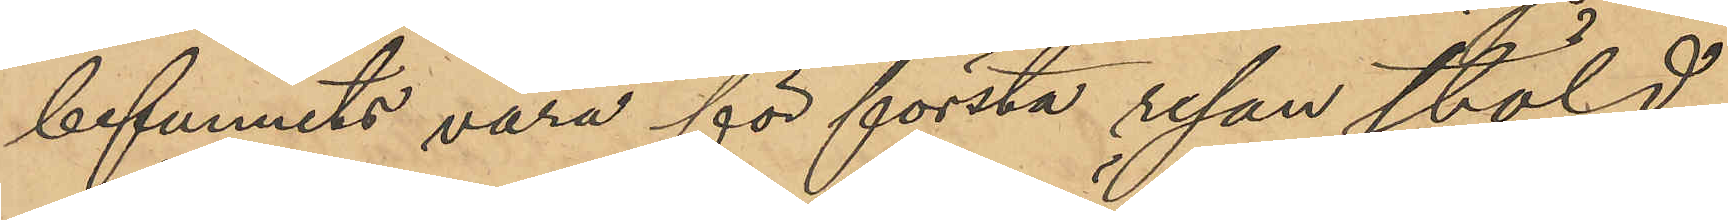befunnits vara för första resan stöld,
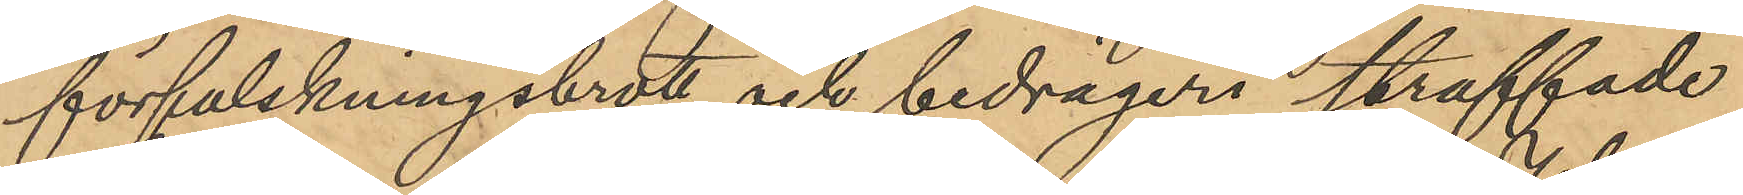förfalskningsbrott och bedrägeri straffade
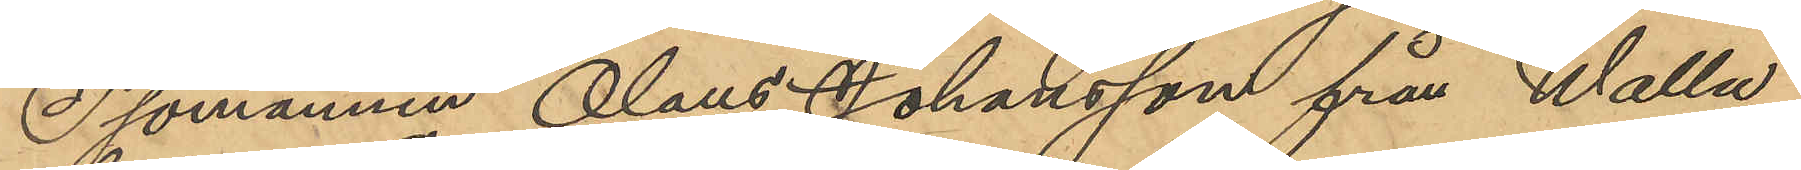Sjömannen Olaus Johansson från Walla
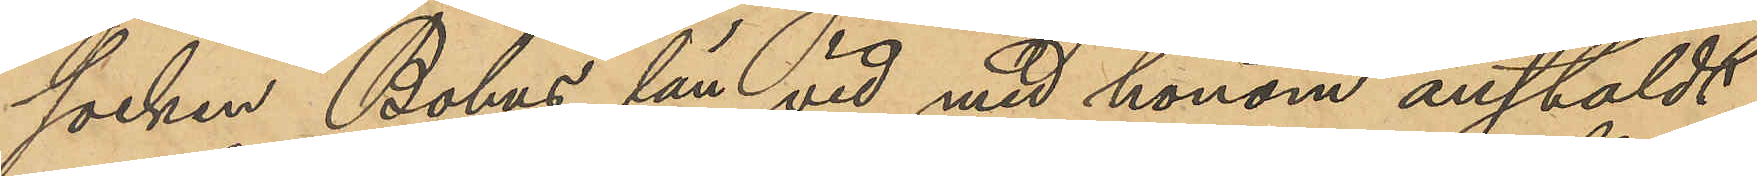socken, Bohus län, vid med honom anstäldt
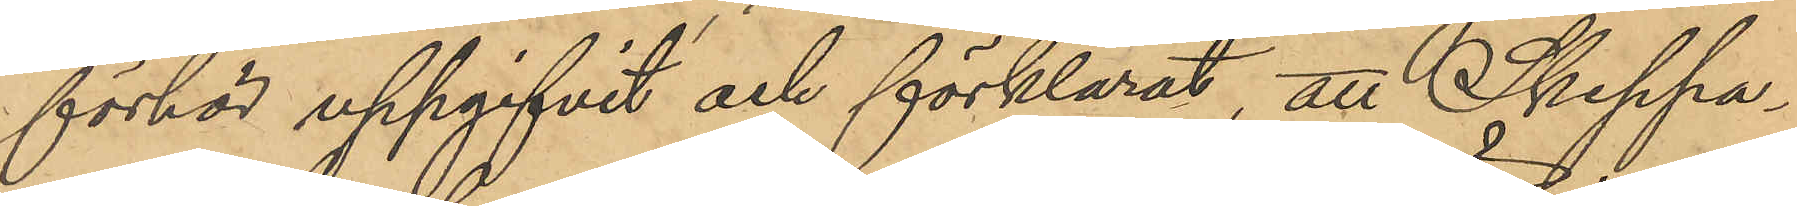förhör uppgifvit och förklarat, att Skeppa¬
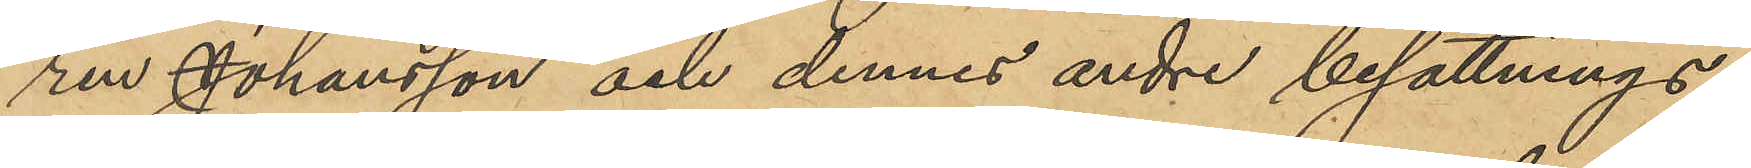ren Johansson och dennes andre besättnings¬
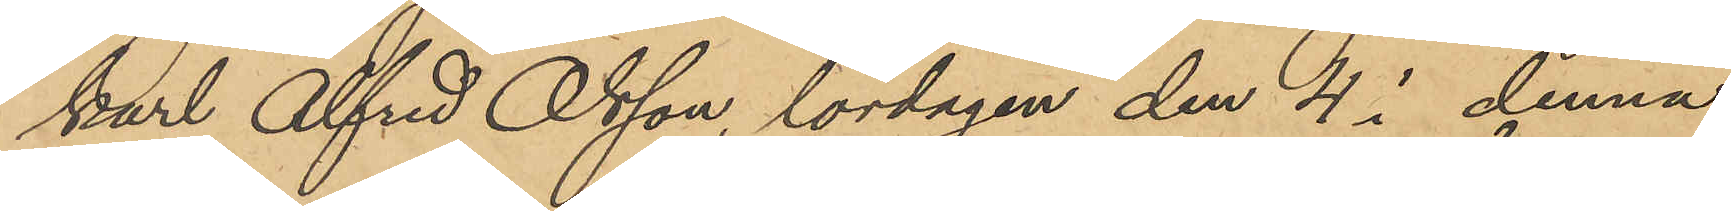karl Alfred Olsson, lördagen den 4 i denna
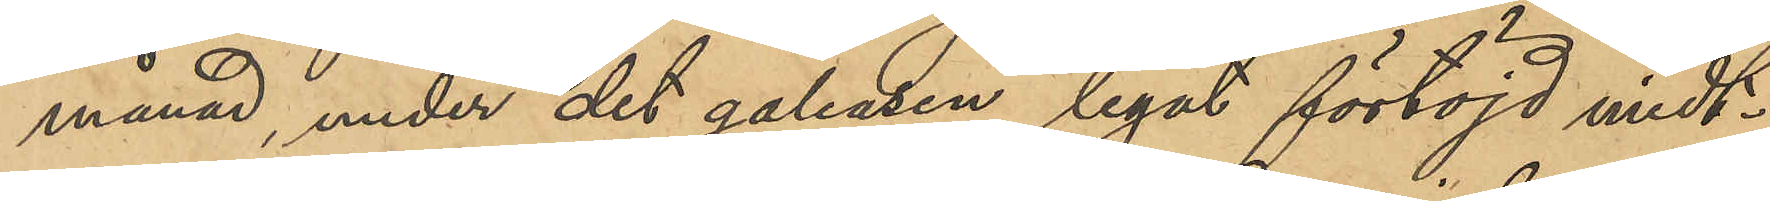månad, under det galeasen legat förtöjd midt¬
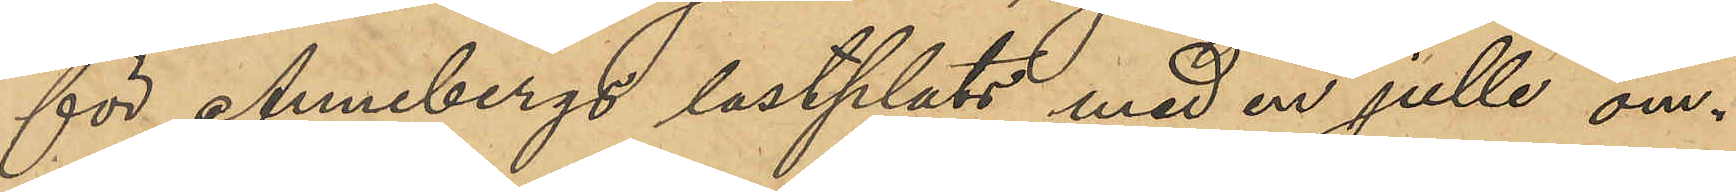för Annebergs lastplats med en julle om¬
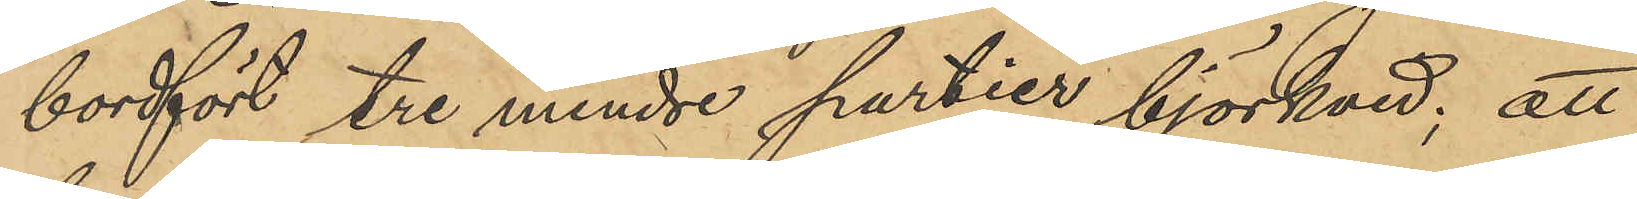bordfört tre mindre partier björkved; att
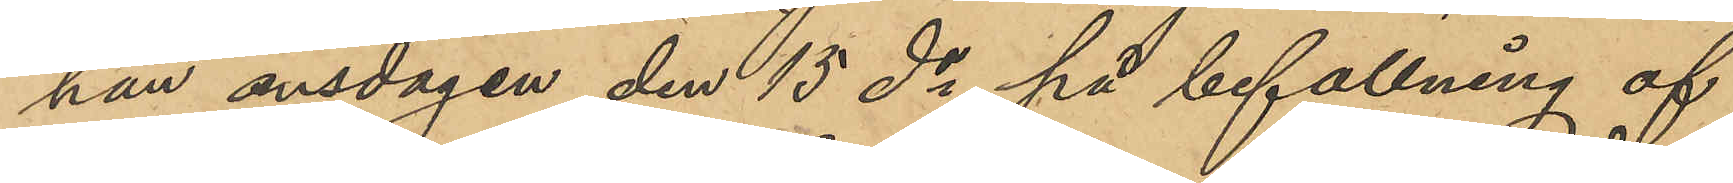han onsdagen den 15 ds på befallning af
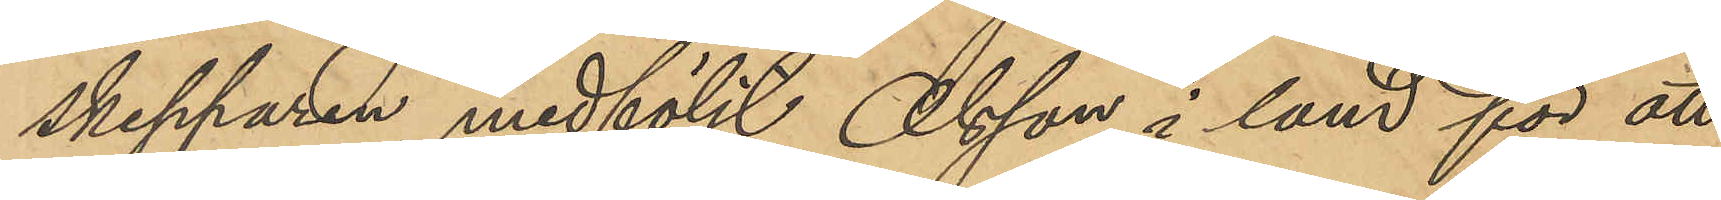skepparen medföljt Olsson i land för att
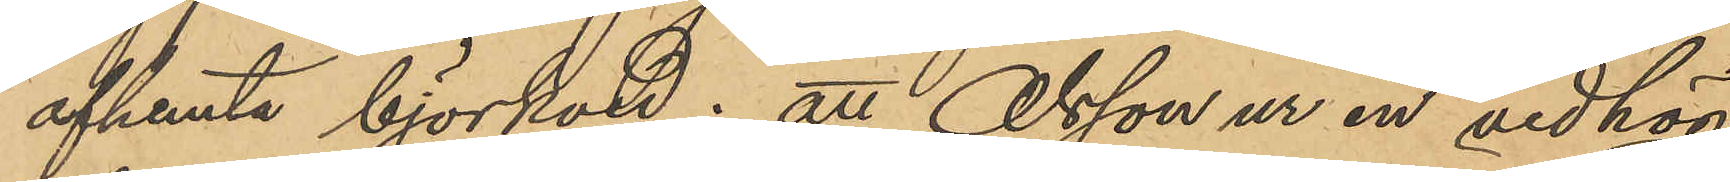afhemta björkved; att Olsson ur en vedhög
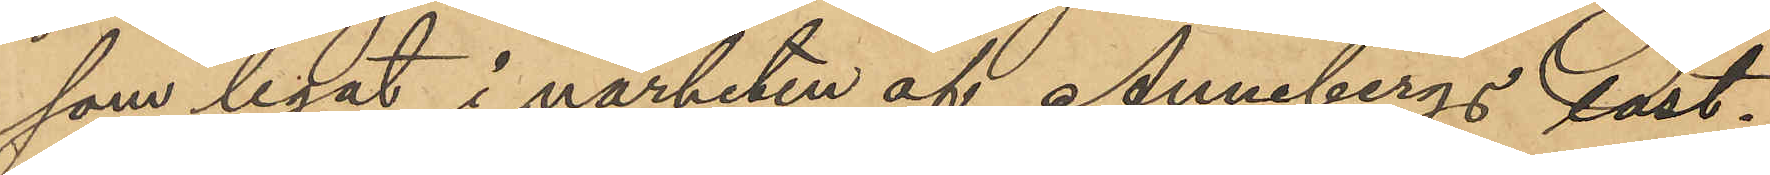som legat i närheten af Annebergs last¬
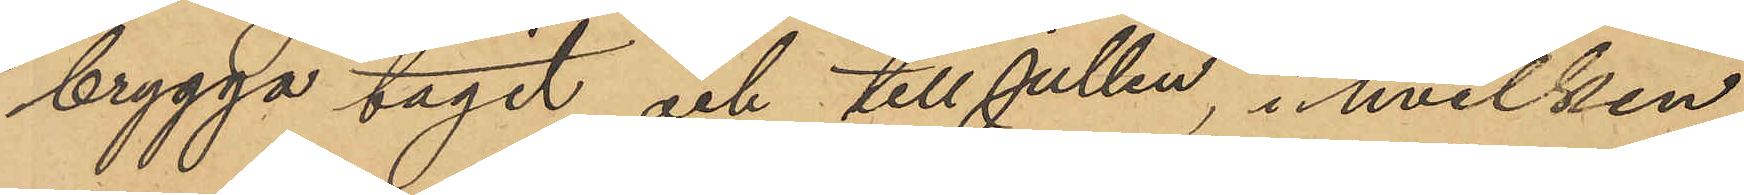brygga tagit och till jullen, i hvilken
